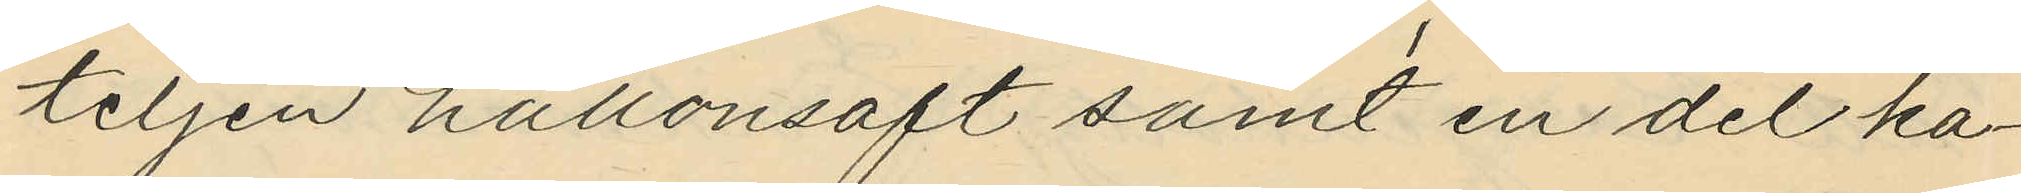teljen hallonsaft samt en del ka¬
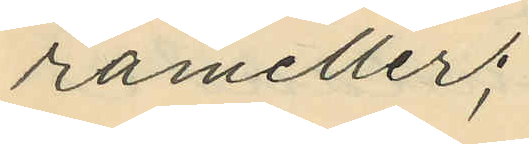rameller;
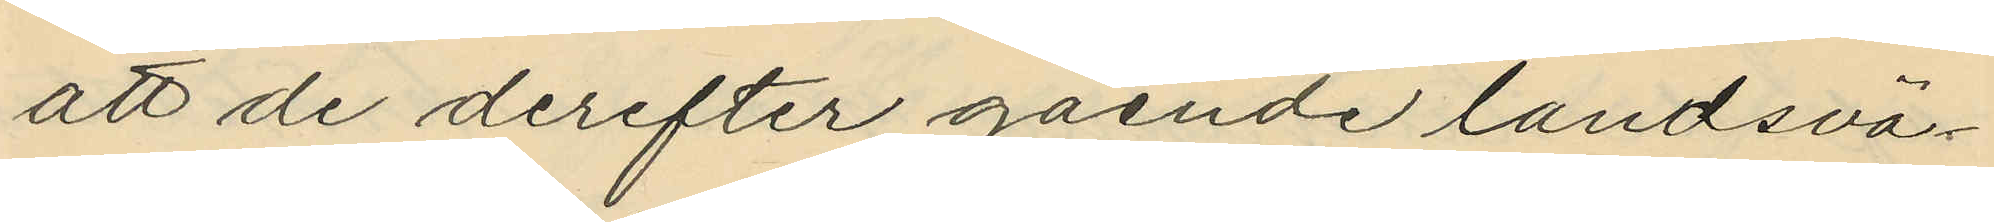att de derefter gående landsvä¬
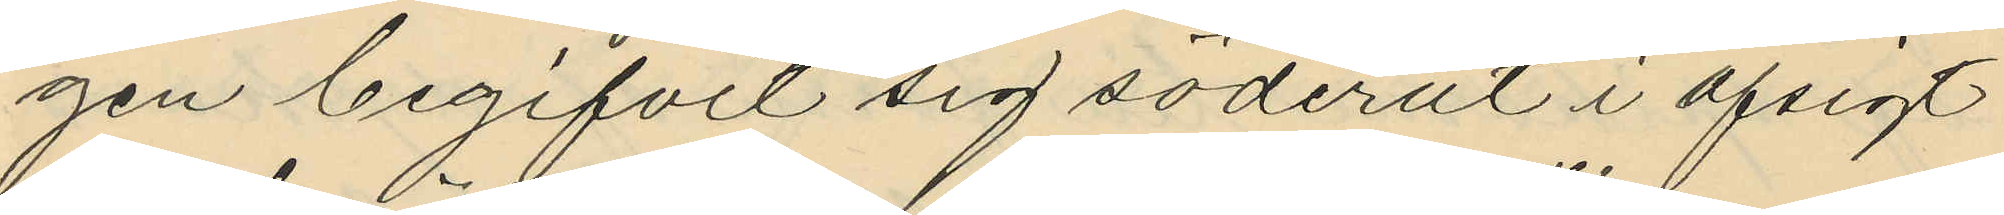gen begifvit sig söderut i afsigt
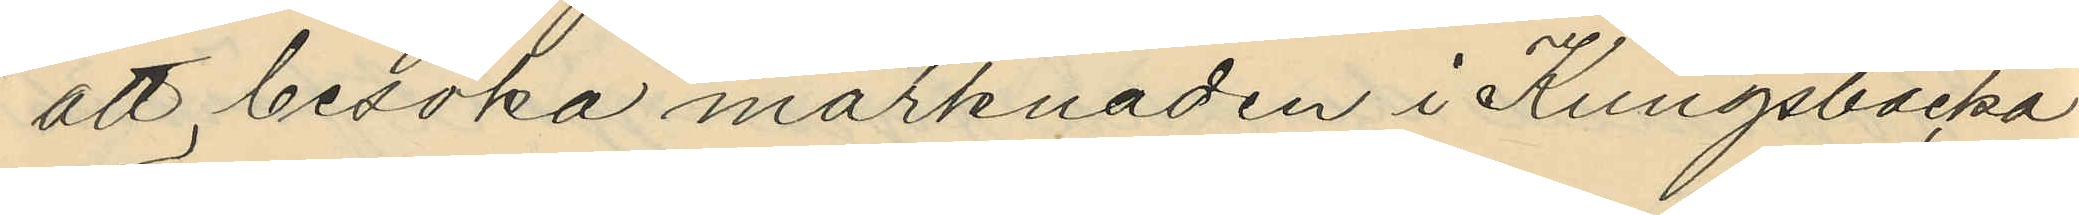att besöka märknaden i Kungsbacka
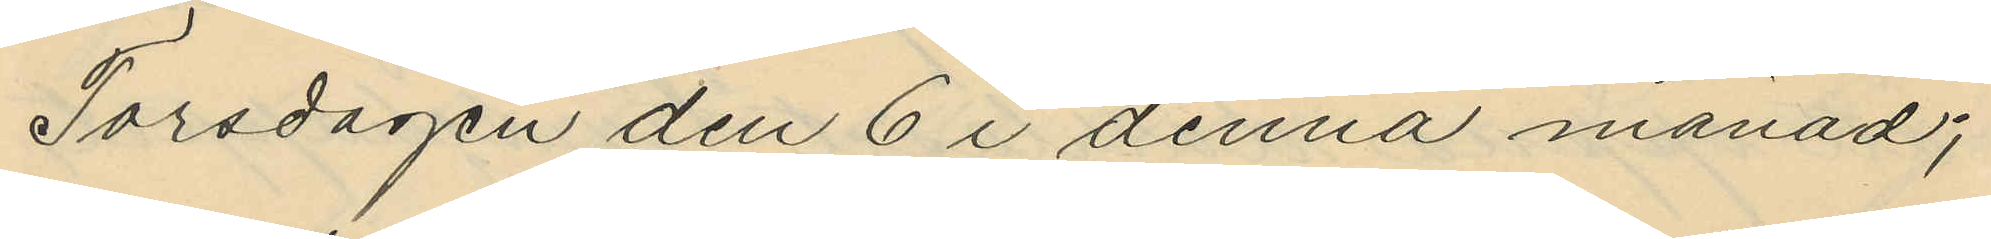Torsdagen den 6 i denna månad;
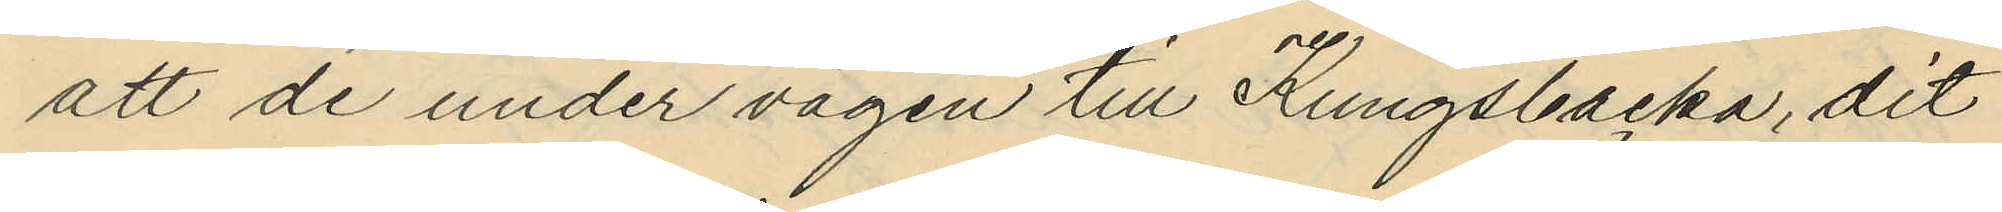att de under vägen till Kungsbacka, dit
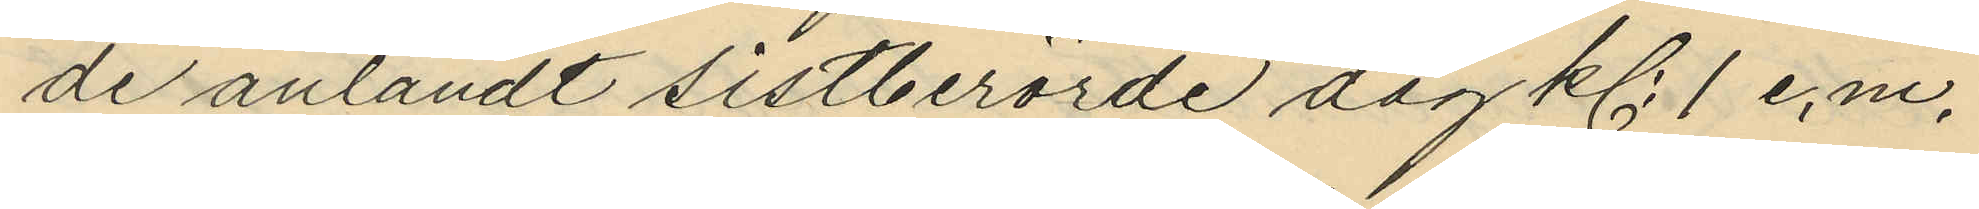de anländt sistberörde dag kl. 1 e.m.
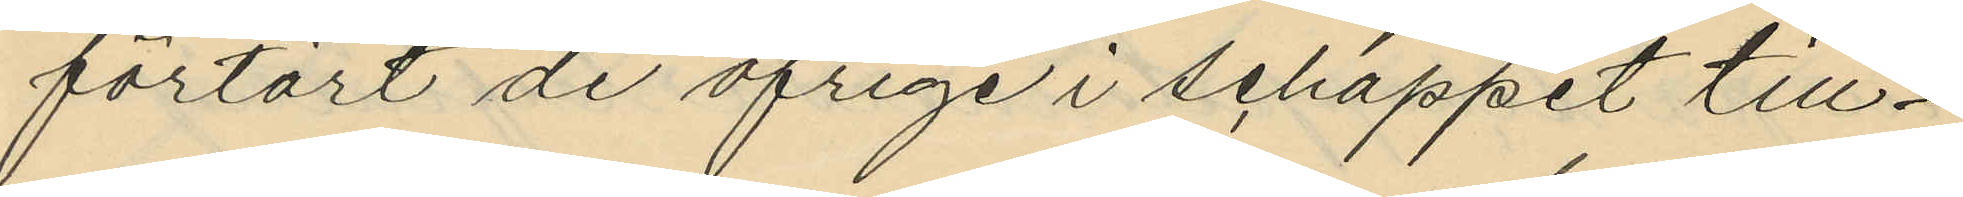förtärt de öfrige i schappet till¬
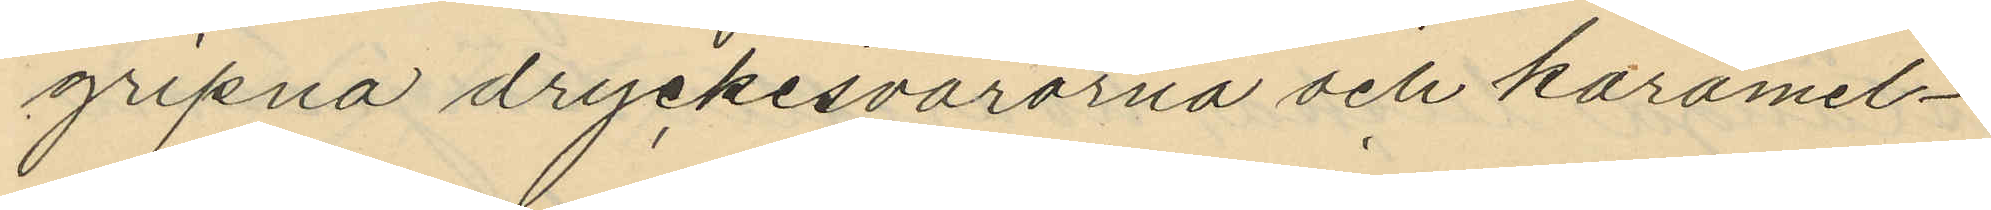gripna dryckesvarorna och karamel¬
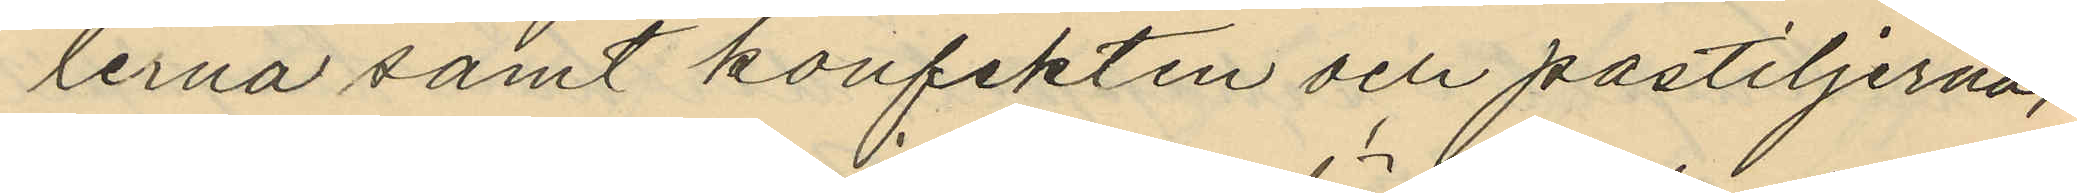lerna samt konfekten och pastiljerna,
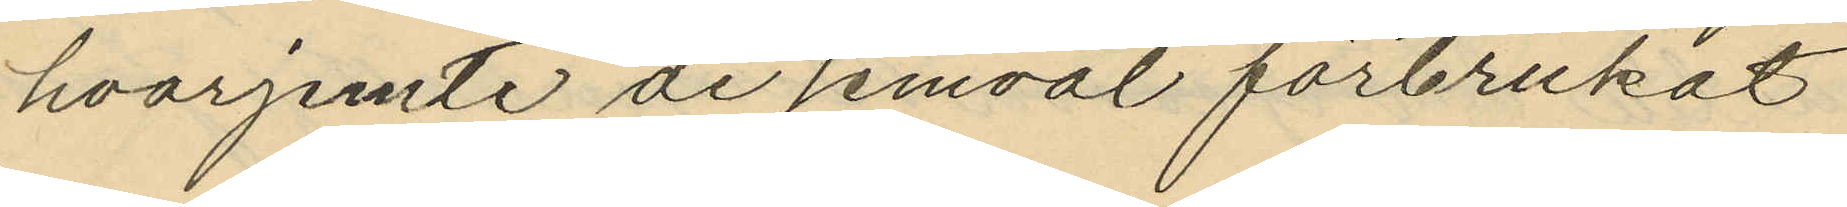hvarjemte de jemväl förbrukat
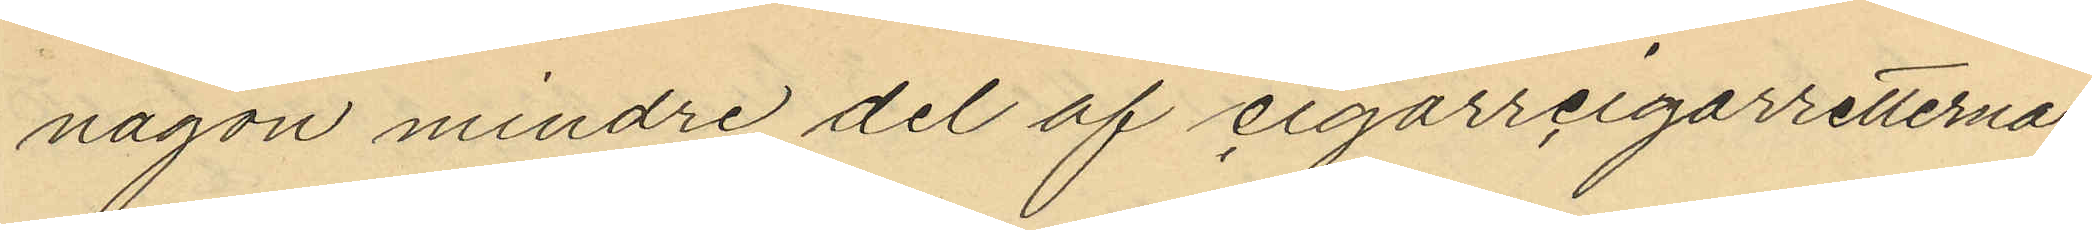någon mindre del af cigarrcigarretterna
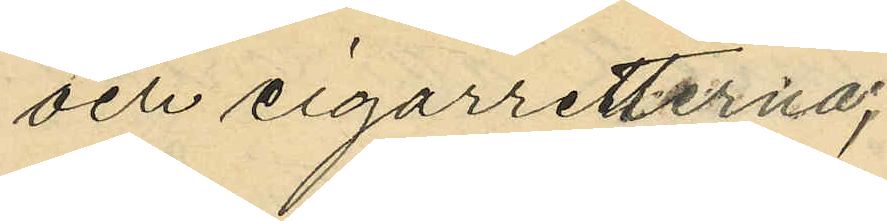och cigarretterna;
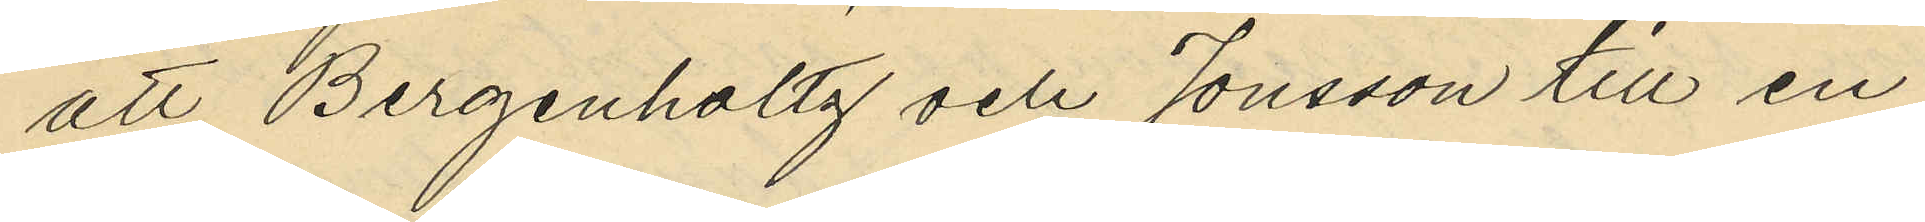att Bergenhollz och Jonsson till en
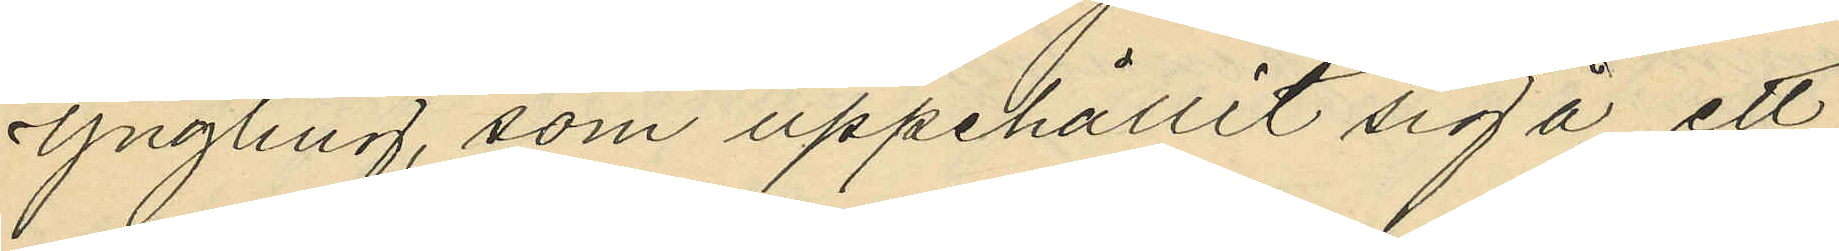Yngling, som uppehållit sig å ett
